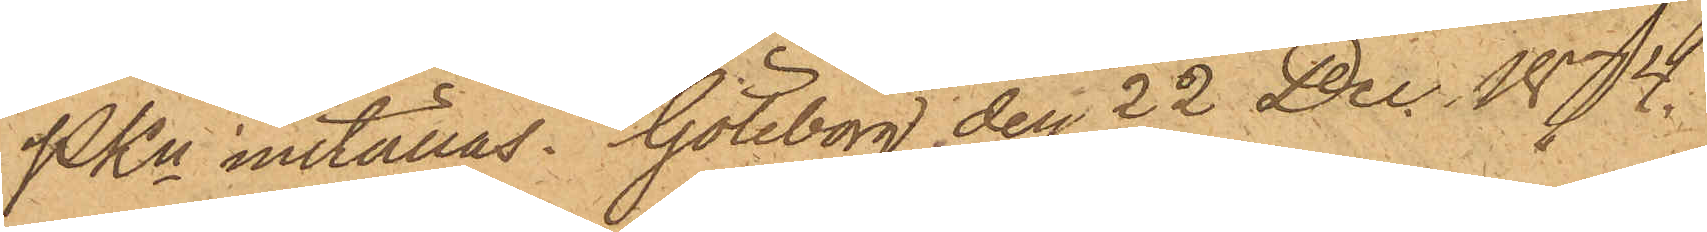PKn inställas. Göteborg den 22 Dec. 1874.
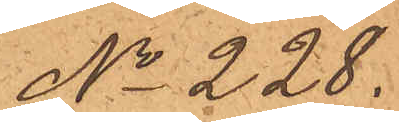No 228.
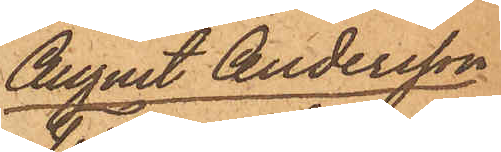August Andersson
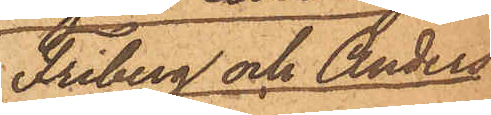Friberg och Anders
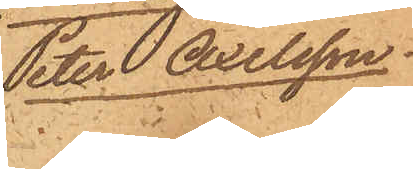Peter Axelsson.
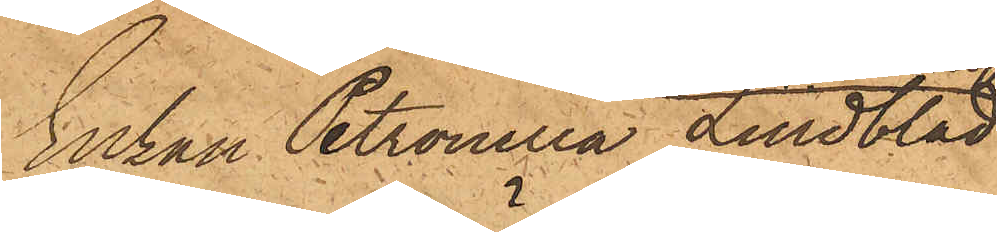Enkan Petronella Lindblad
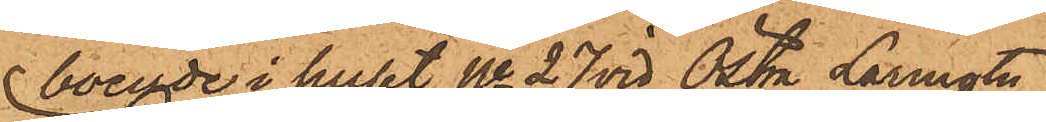boende i huset No 27 vid Östra Larmgatan
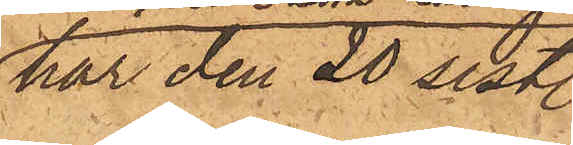har den 20 sist.
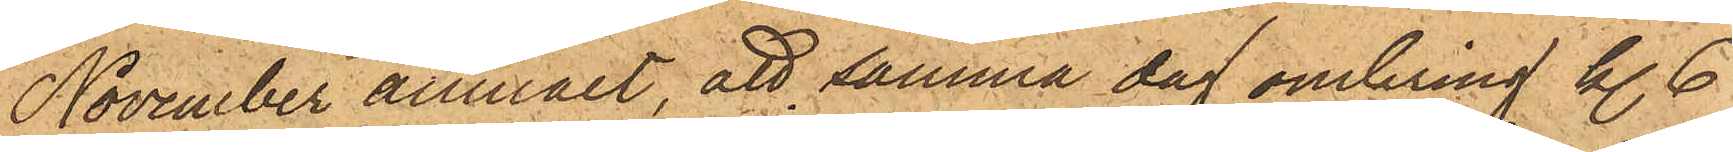November anmält, att samma dag omkring kl. 6
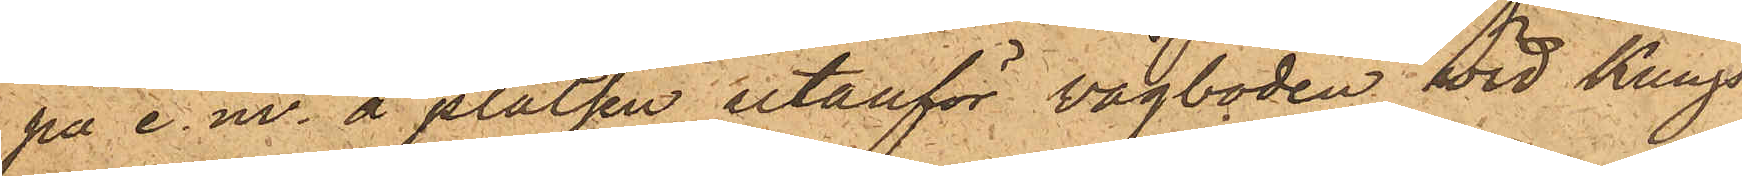på e.m. å platsen utanför vågboden wid Kungs¬
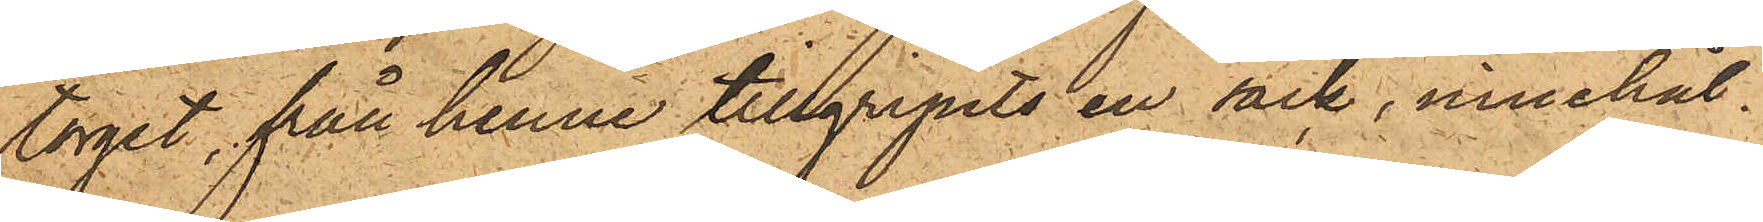torget, från henne tillgripits en säck, innehål¬
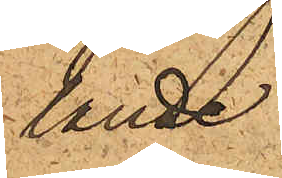lande
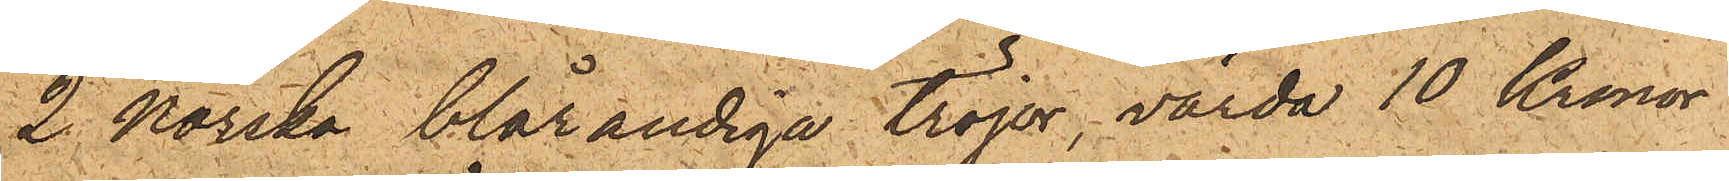2 norska blårandiga tröjor, värda 10 Kronor
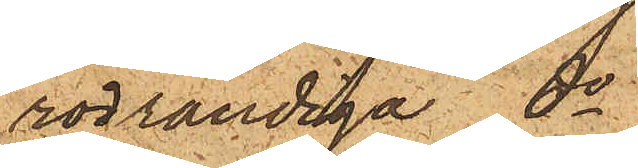rödrandiga do
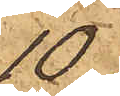10
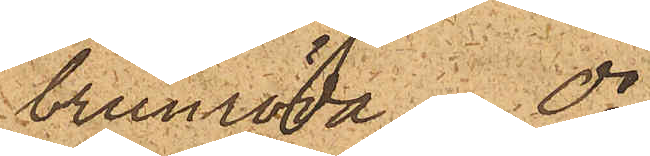brunröda do
